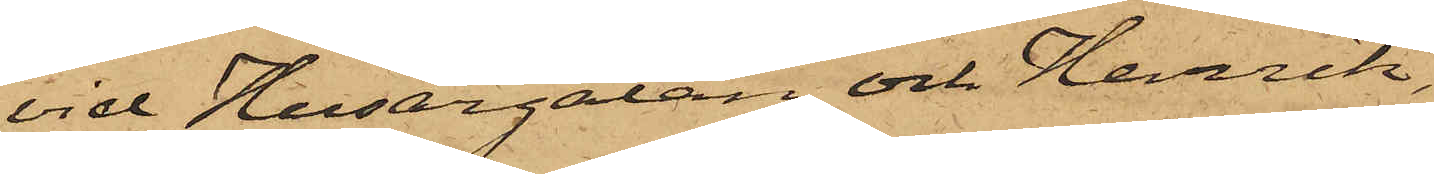vid Husargatan och Henrik,
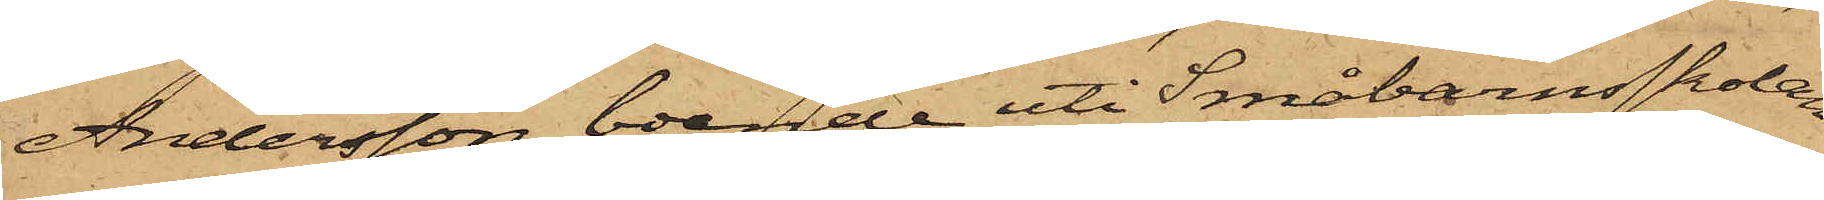Andersson, boende uti Småbarnsskolan
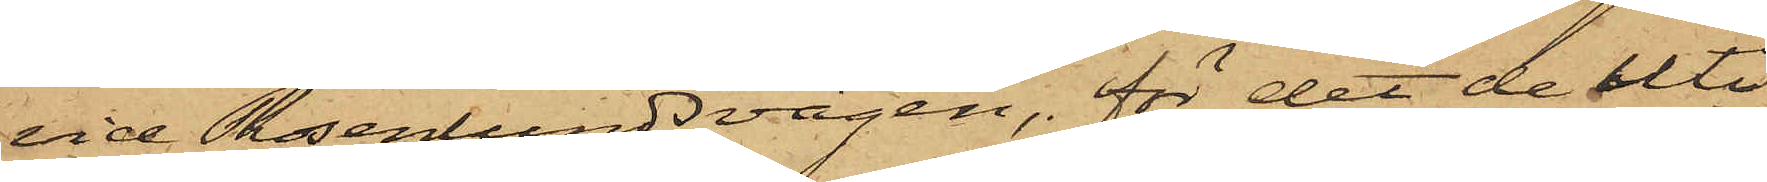vid Rosenlundsvägen, för det de uti
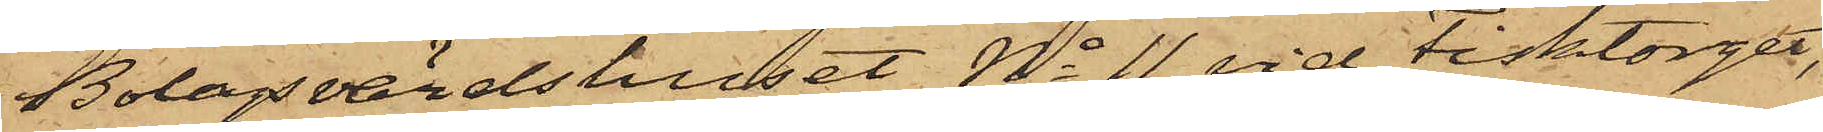Bolagsvärdshuset No 11 vid Fisktorget,
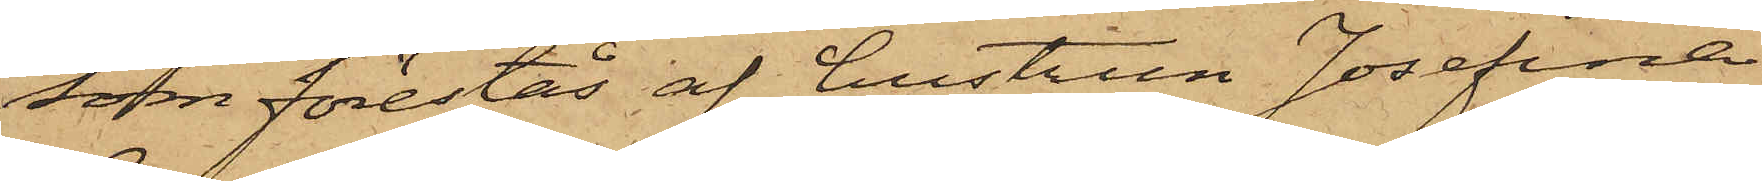som förestås af hustrun Josefina
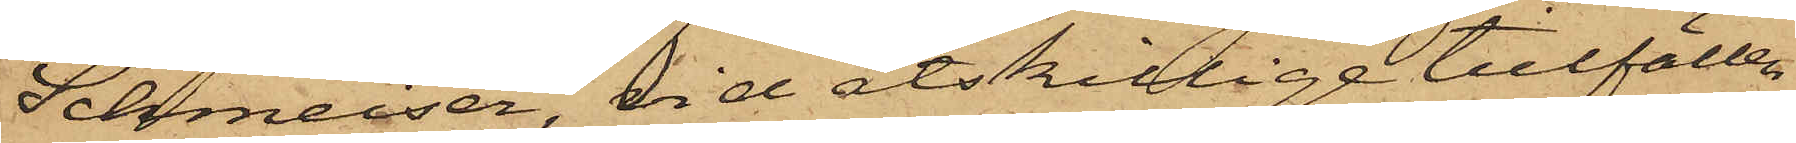Schmeiser, vid åtskillige tillfällen
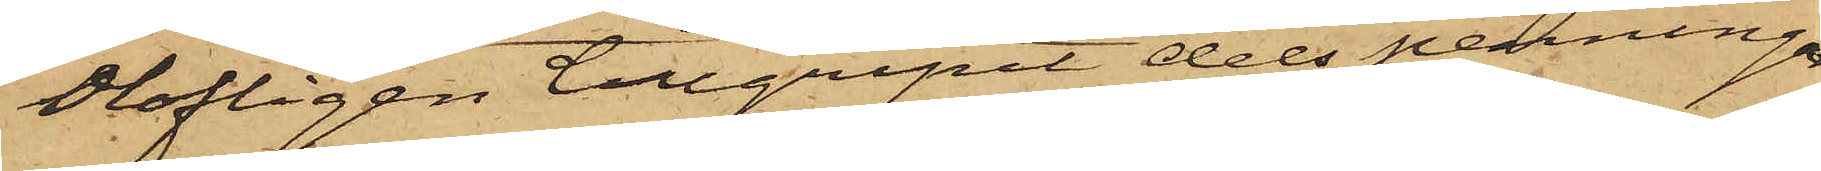olofligen tillgripit dels penningar
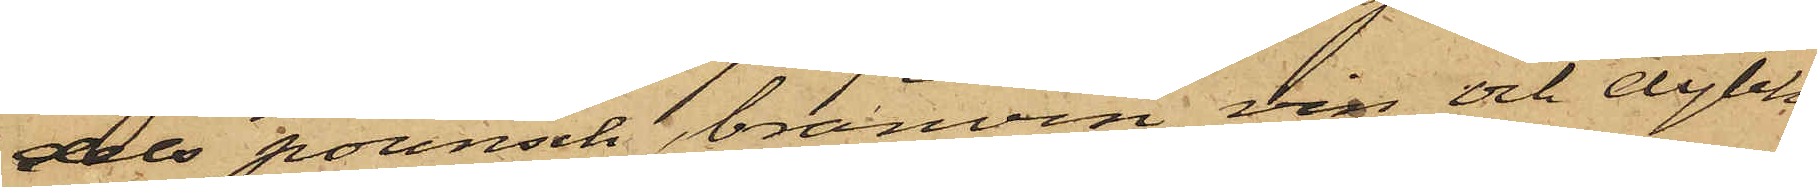dels pounsch, bränvin, vin, och dylikt,
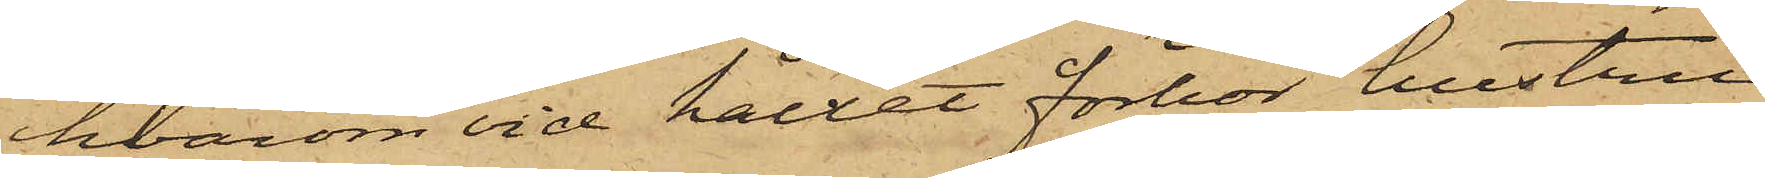hvarom vid hållet förhör hustru
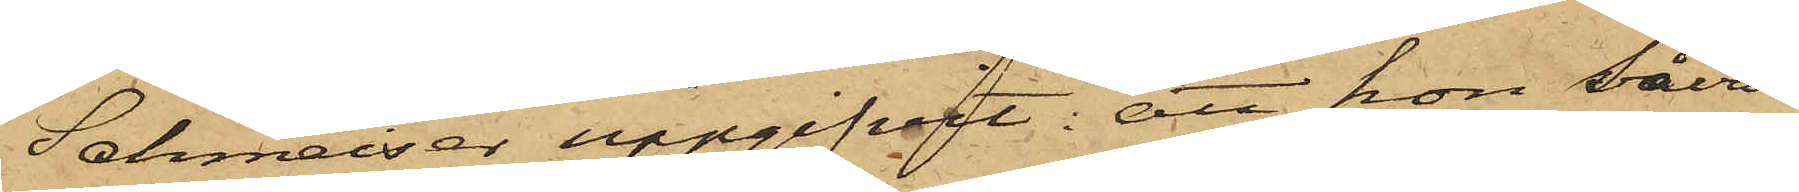Schmeiser uppgifvit: att hon såväl
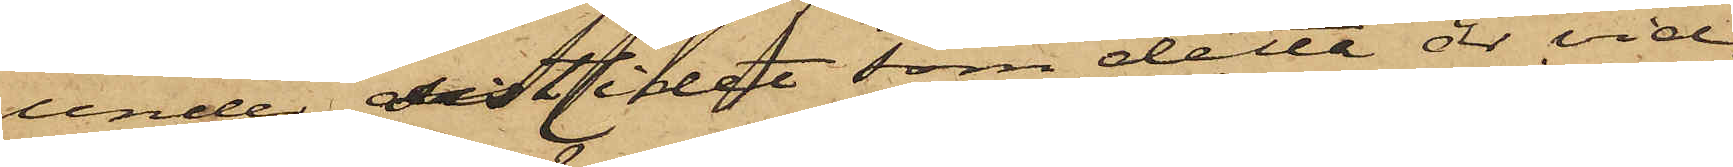under sistlidet som detta år vid
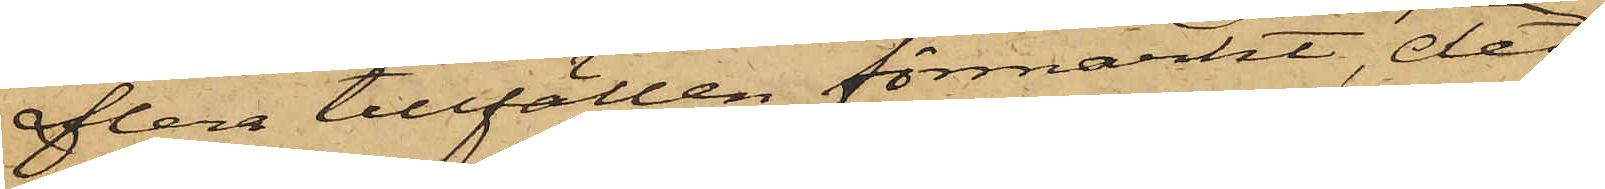flera tillfällen förmärkt, det
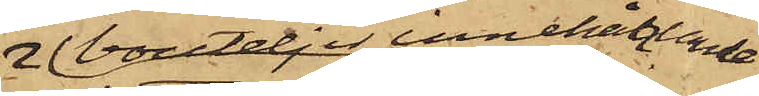bouteljer innehållande
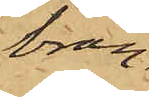brän¬
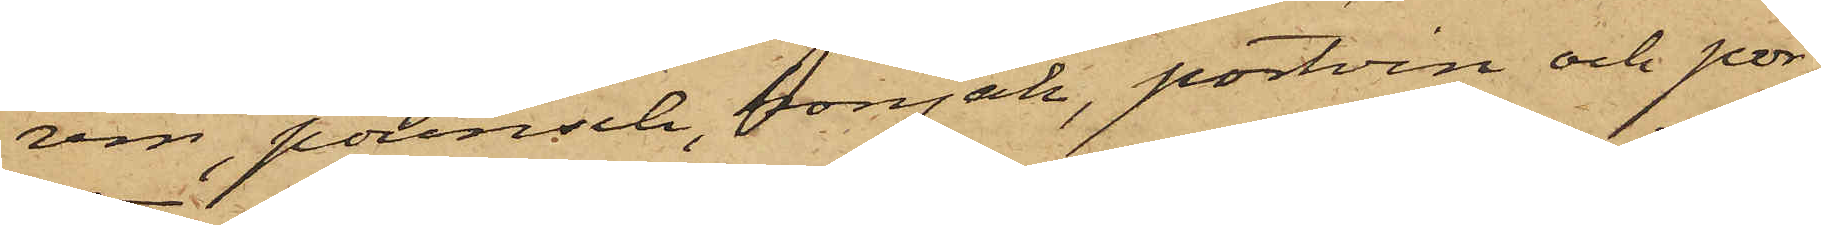vin, pounsch, konjak, portvin och por¬
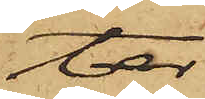ter
